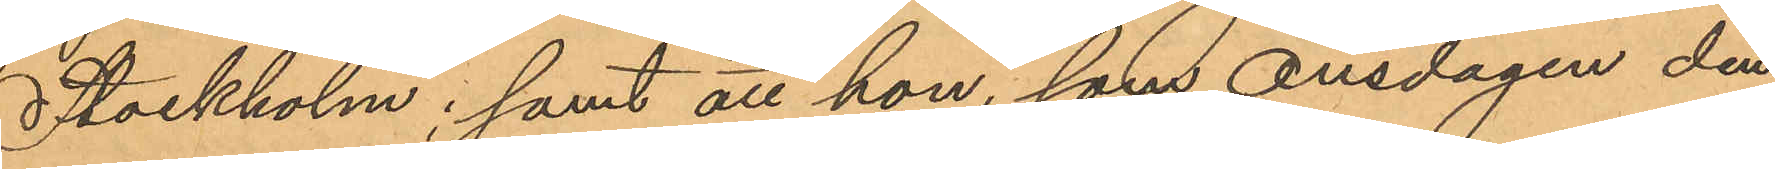Stockholm; samt att hon, som Onsdagen den
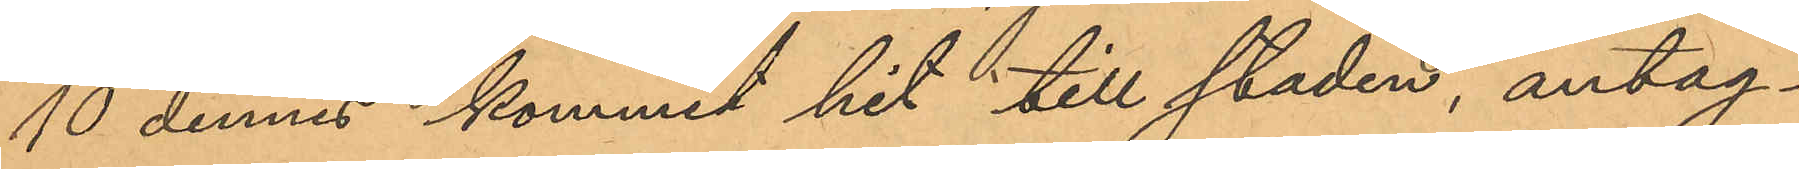10 dennes kommit hit till staden, antag¬
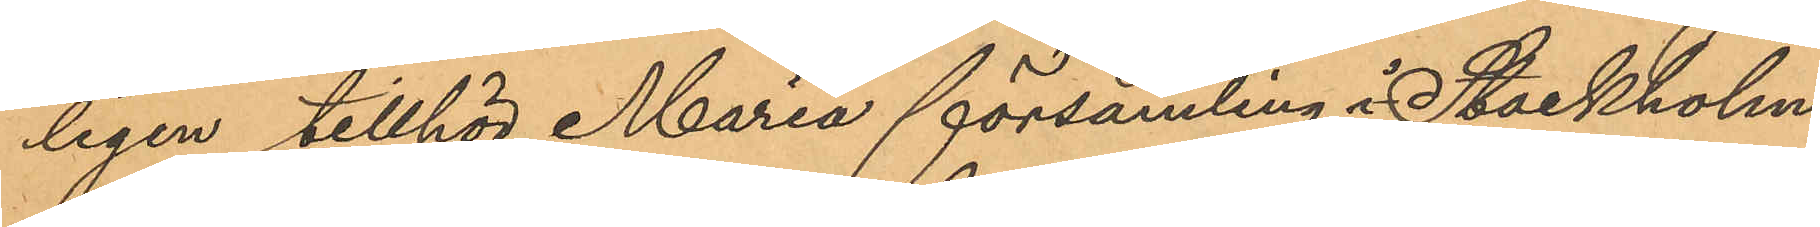ligen tillhör Maria församling i Stockholm.
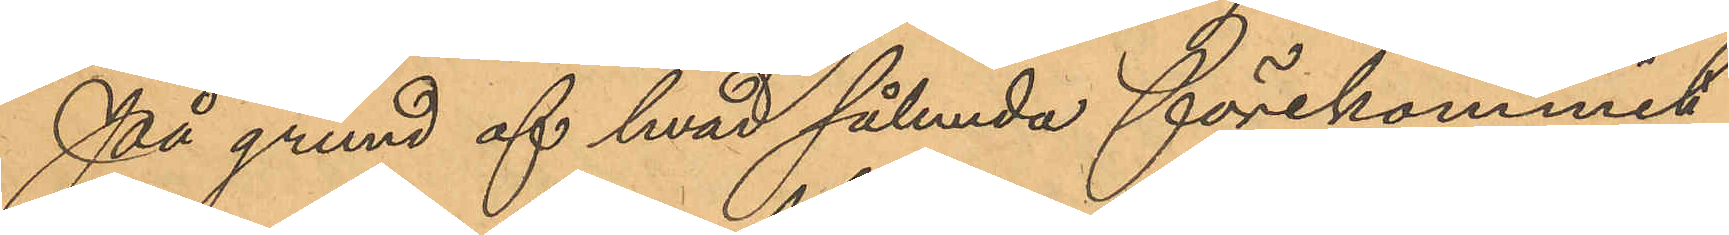På grund af hvad sålunda förekommit
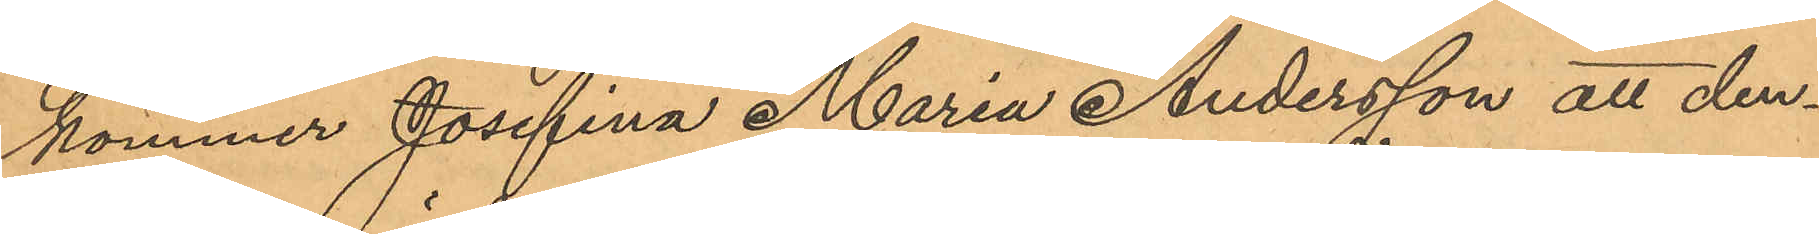kommer Josefina Maria Andersson att den¬
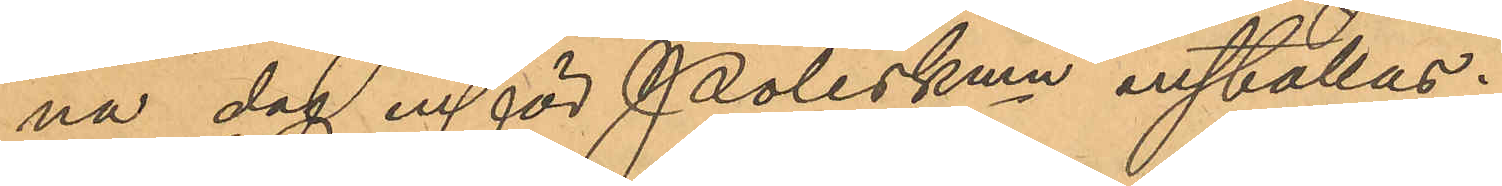na dag inför Poliskmn inställas.
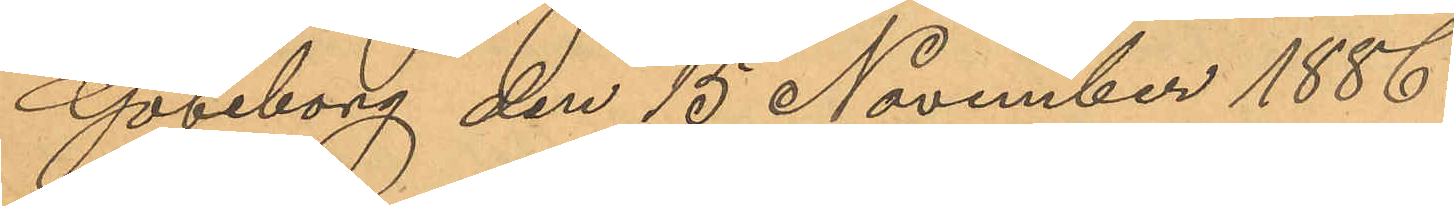Göteborg den 15 November 1886.
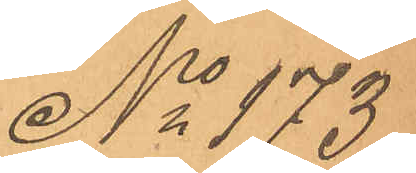No 173
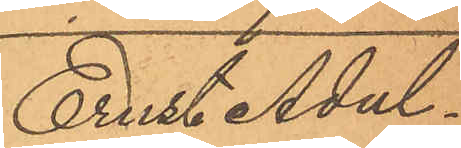Erit Adal¬
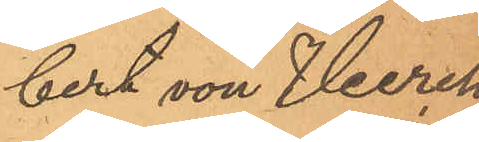bert von Heerch
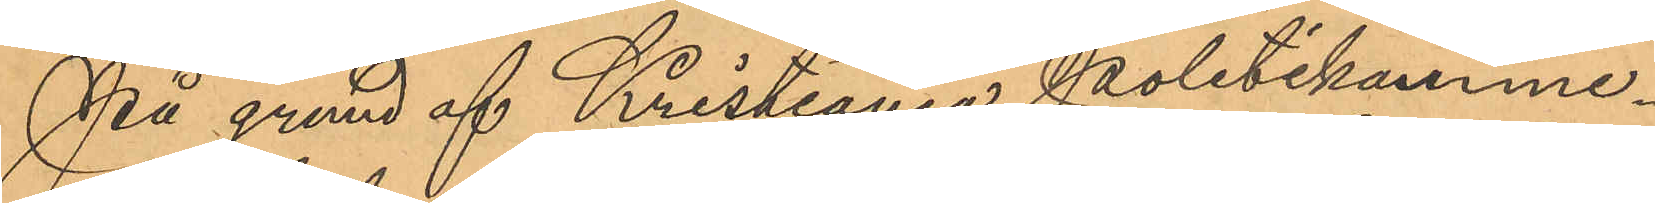På grund af Kristiania Politikamme¬
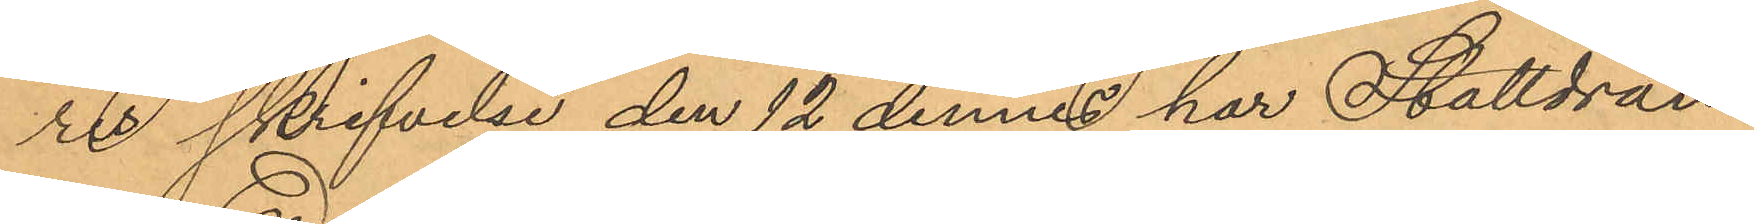res skrifvelse den 12 dennes har Stalldrän¬
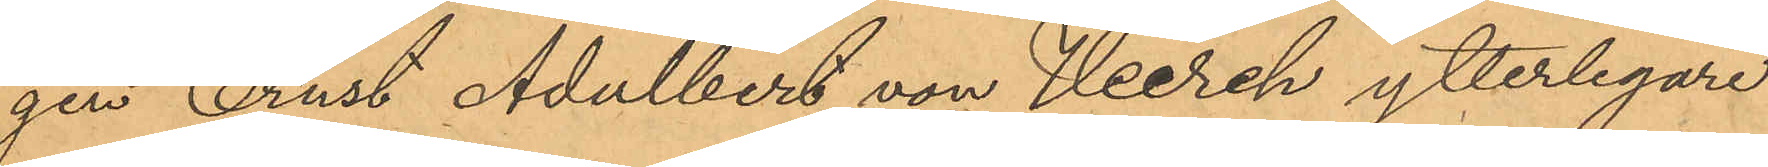gen Ernst Adalbert von Heerch ytterligare
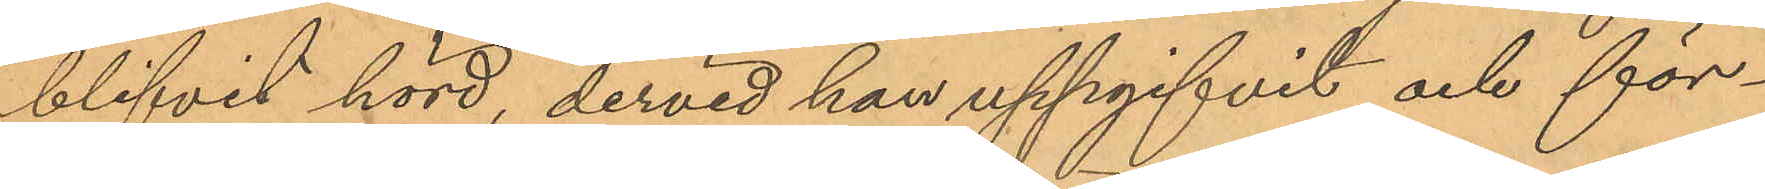blifvit hörd, dervid han uppgifvit och för¬
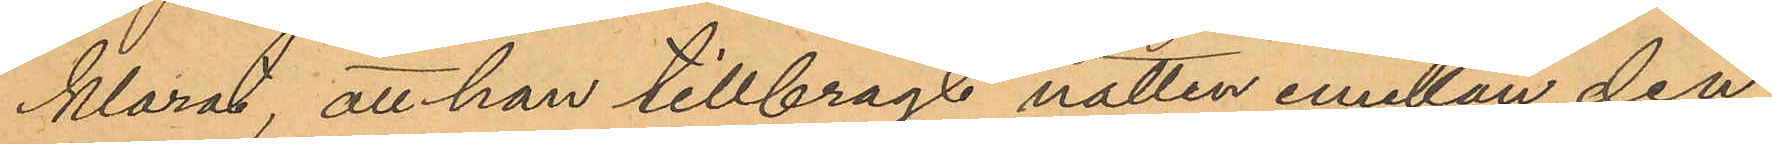klarat att han tillbragt natten emellan den
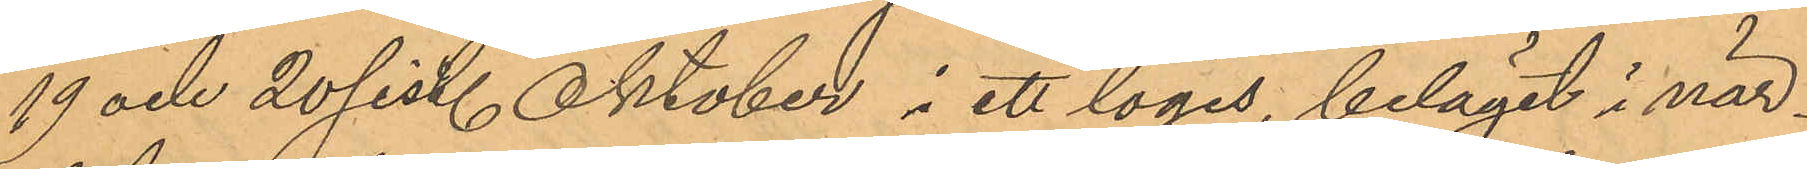19 och 20 sist. Oktober i ett logis, beläget i när¬
